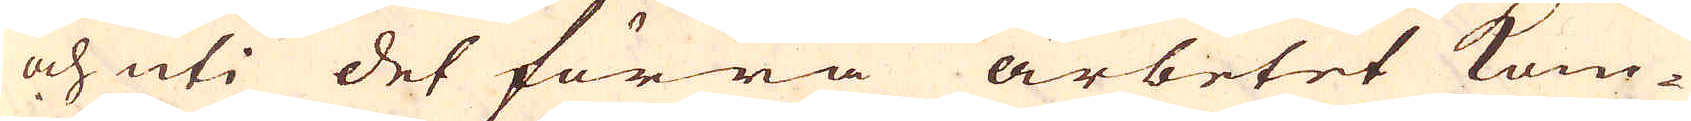och uti det förra arbetet kom-
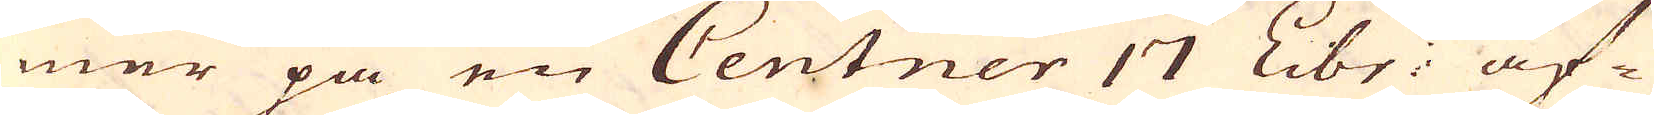mer på en Centner 17 Libr: af-
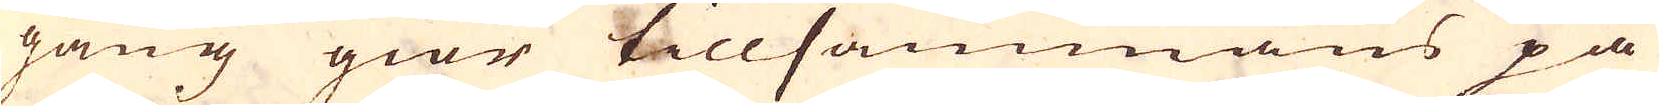gång giör tillsammans på
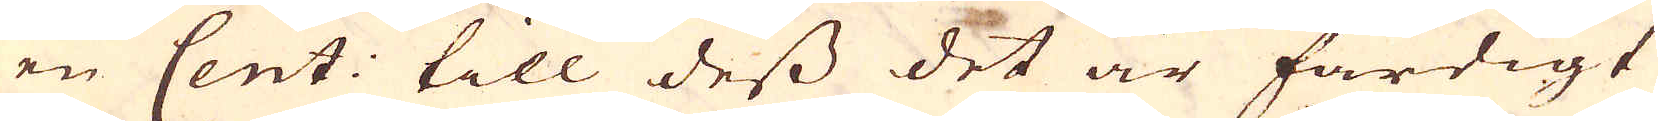en Cent: till dess det är färdigt
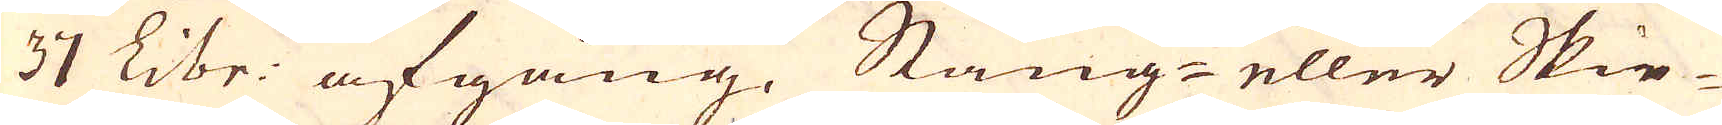37 Libr: afgång. Stång- eller Skie-
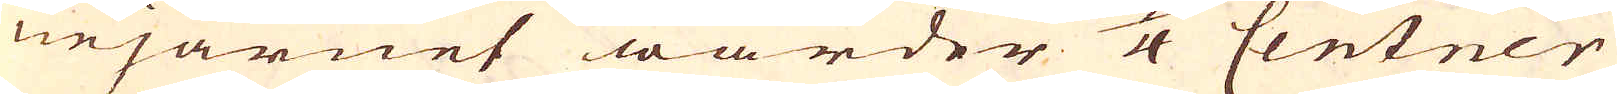nejärnet warder 5/4 Centner
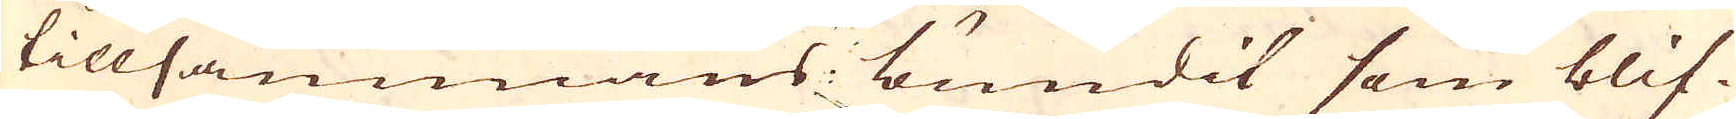tilllammans bundit som blif-
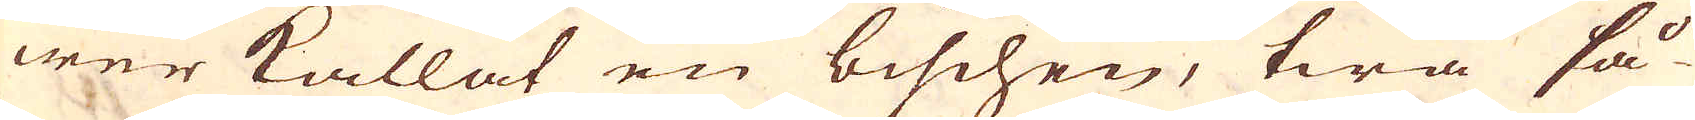wer kallat en bischen, twå så-
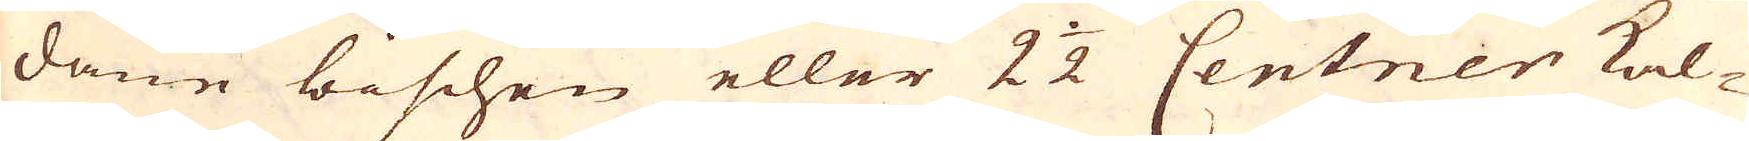dane bischen eller 2 1/2 Centner kal-
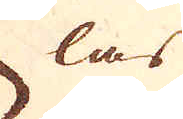las
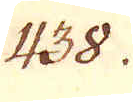438.
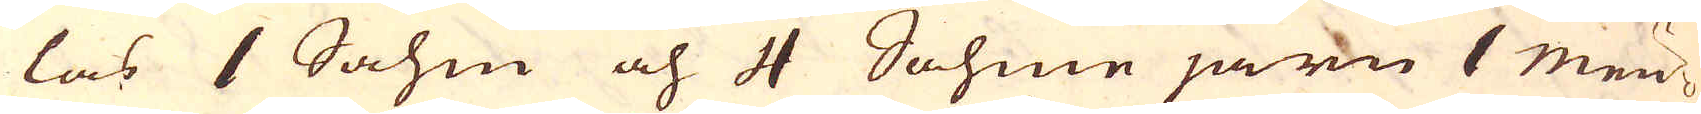las 1 Sahm och 4 Sahme järn 1 Mäu-
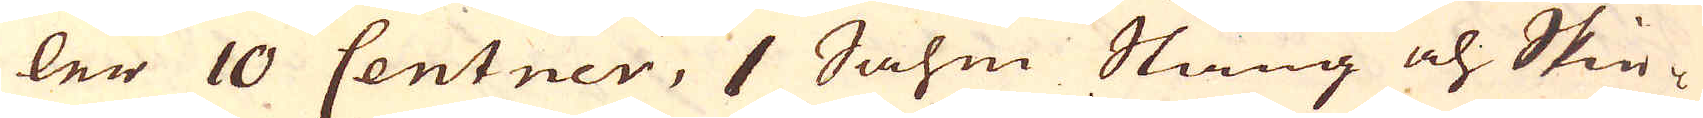ler 10 Centner, 1 Sahm Stång och Skie-
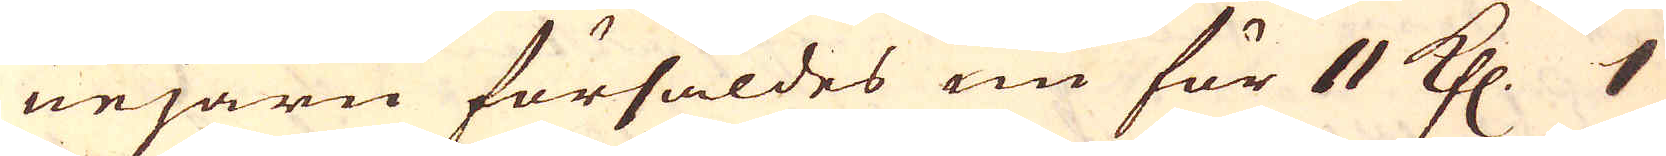nejärn försåldes nu för 11 Kfl. 1
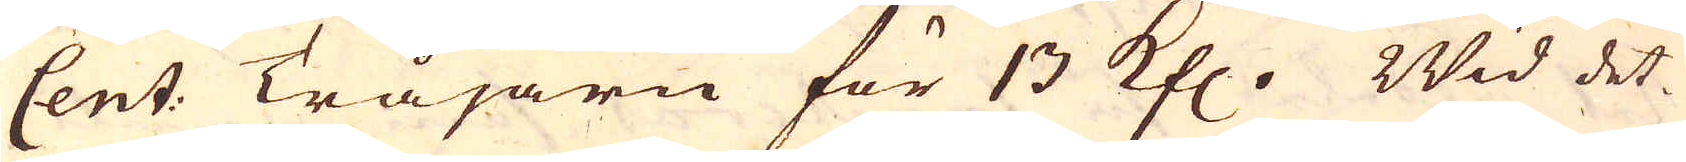Cent: Tråjarn för 13 Kfl. Wid det-
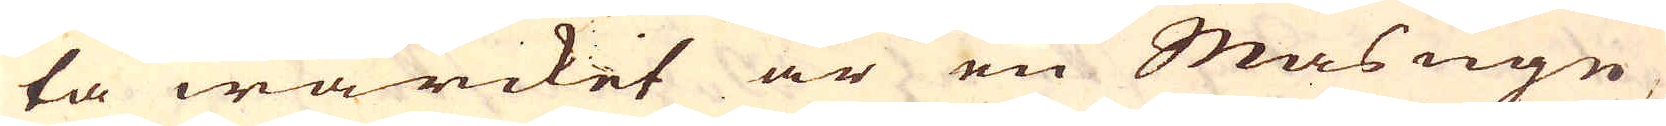ta wärcket är en Masugn
